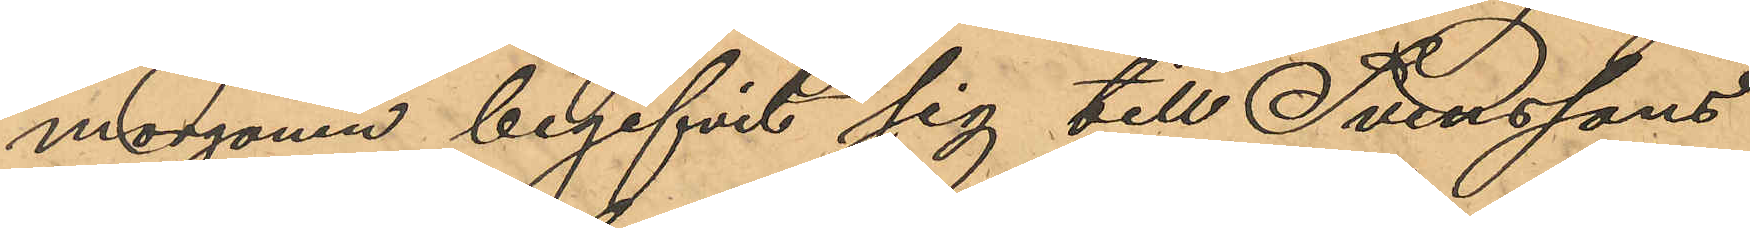morgonen begifvit sig till Svenssons
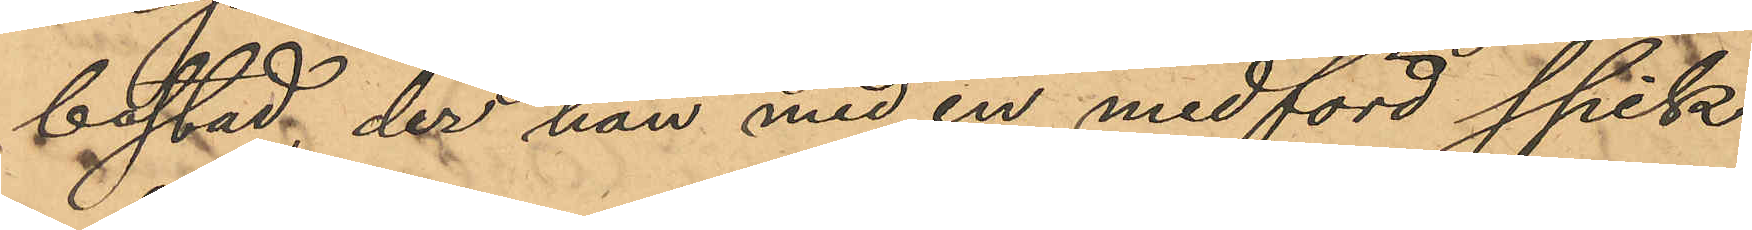bostad, der han med en medförd spik
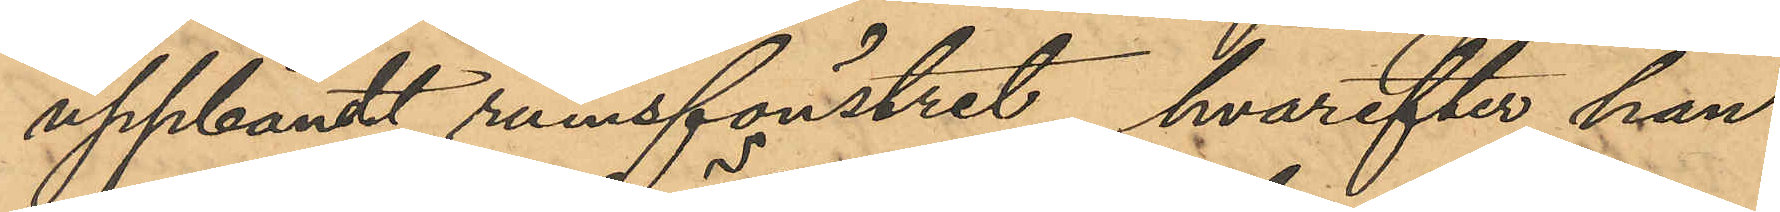uppbänt rumsfönstret, hvarefter han
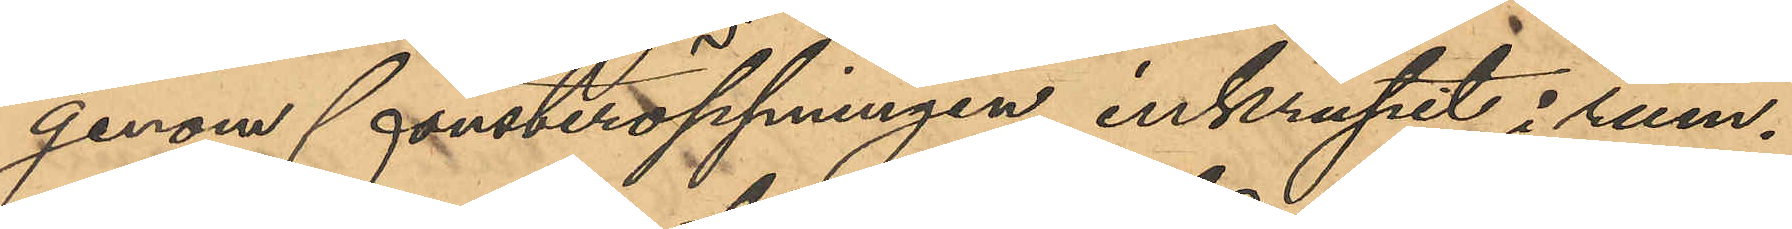genom fönsteröppningen inkrupit i rum¬
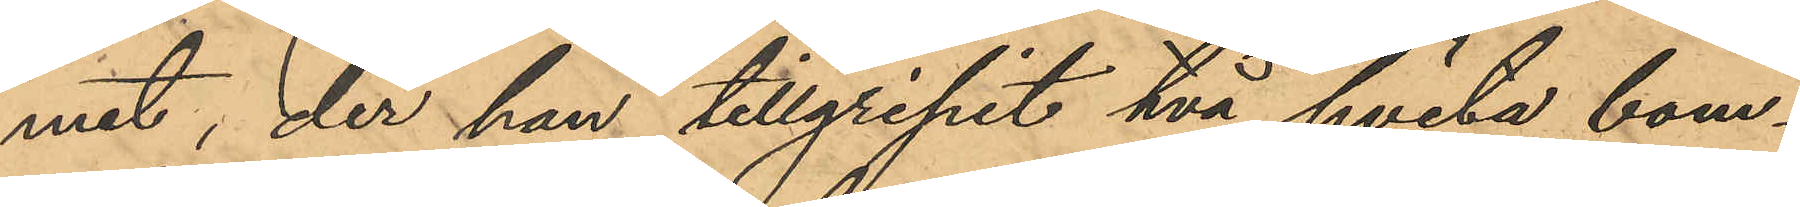met, der han tillgripit två hvita bom¬
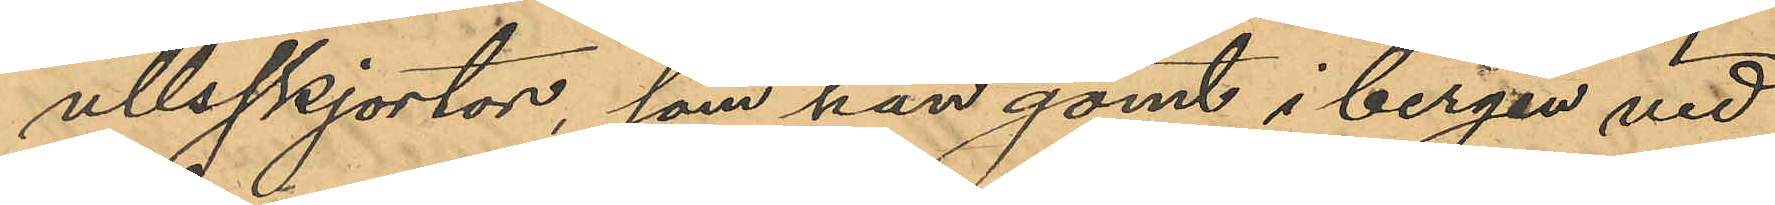ullsskjortor, som han gömt i bergen vid
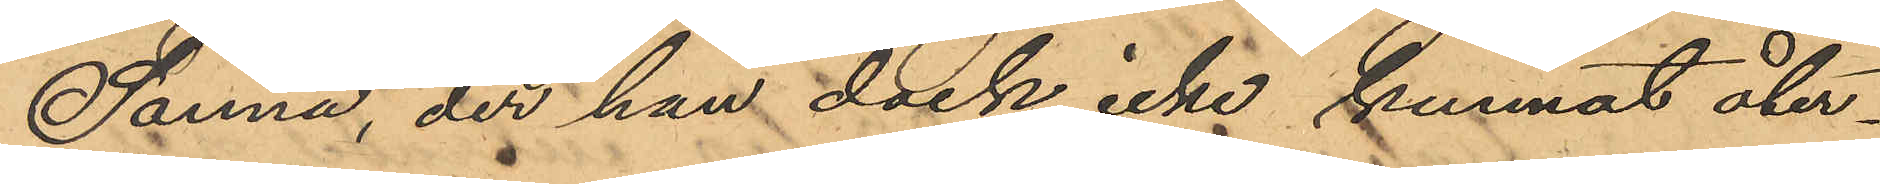Sanna, der han dock icke kunnat åter¬
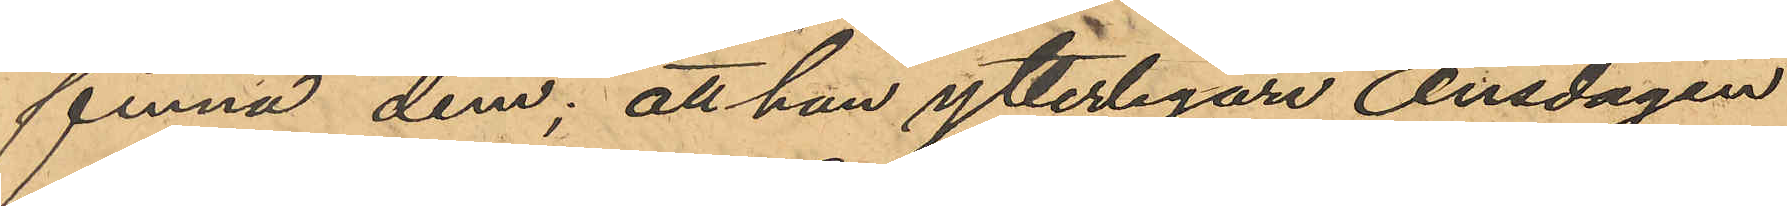finna dem; att han ytterligare Onsdagen
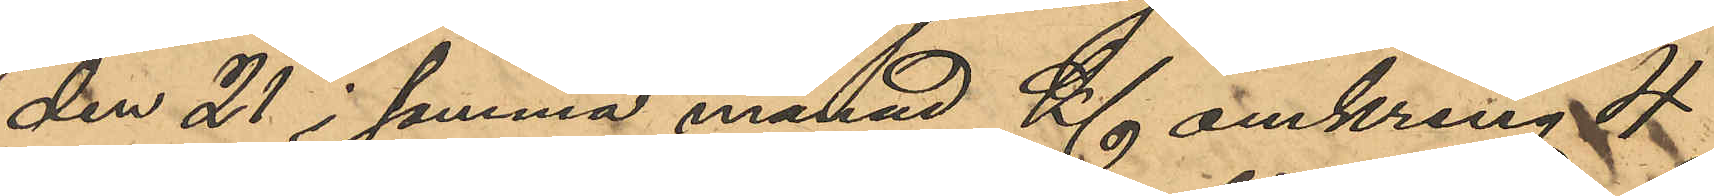den 21 i samma månad Kl omkring 4
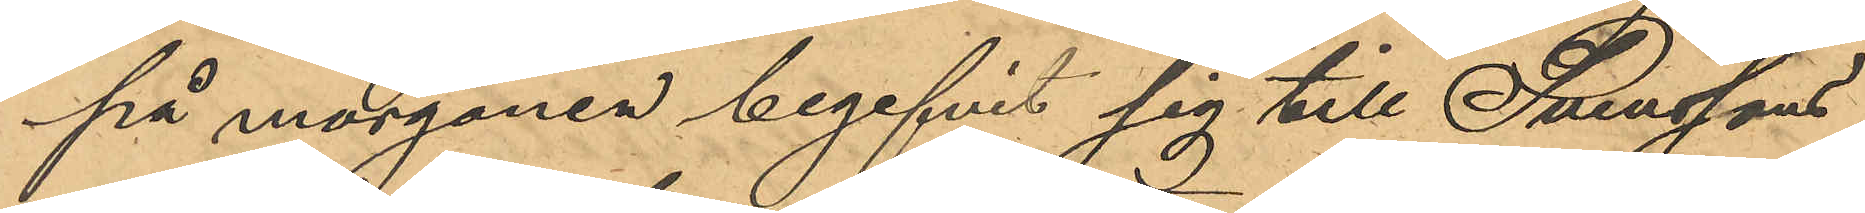på morgonen begifvit sig till Svenssons
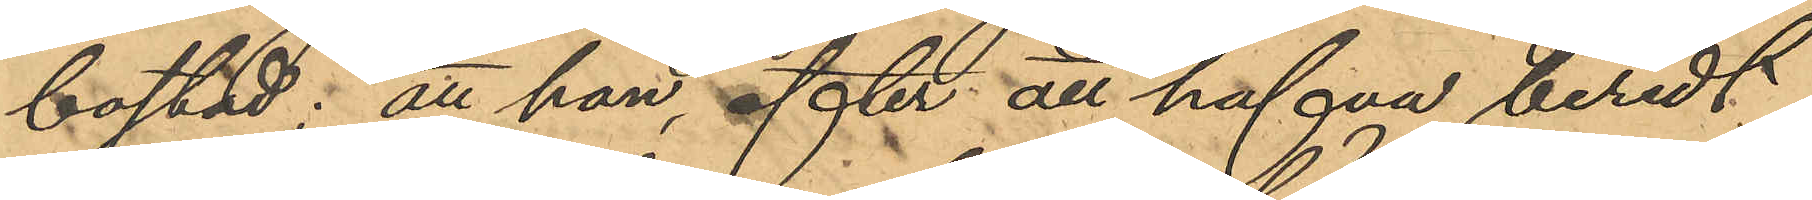bostad; att han, efter att hafva beredt
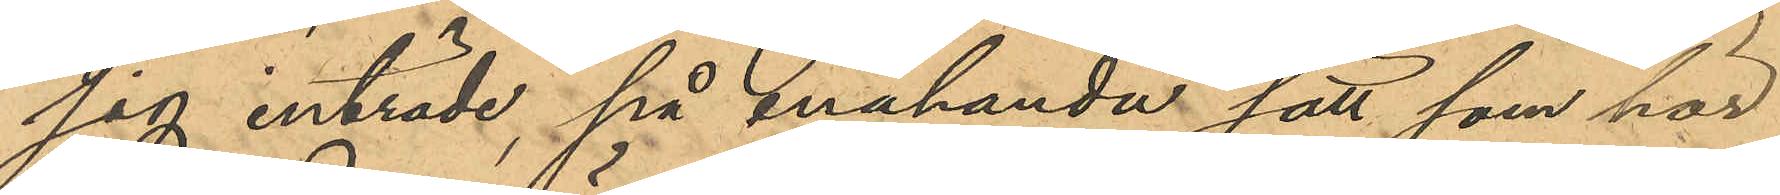sig inträde, på enahanda sätt som här
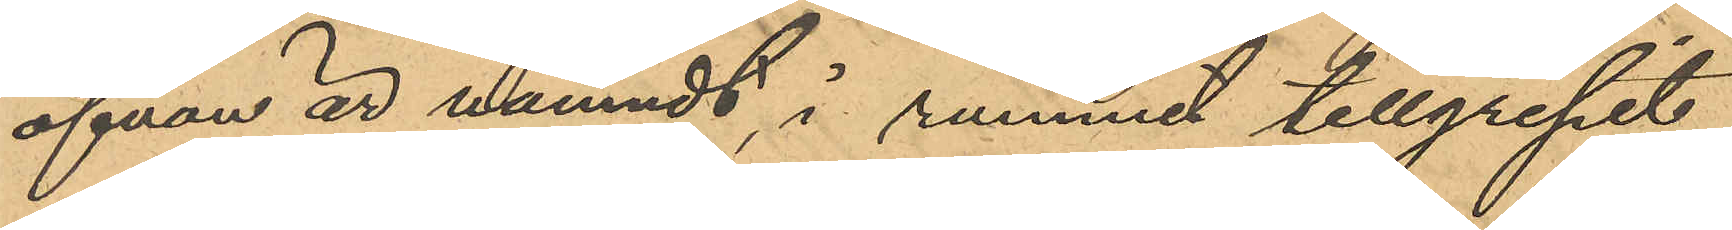ofvan är nämndt, i rummet tillgripit
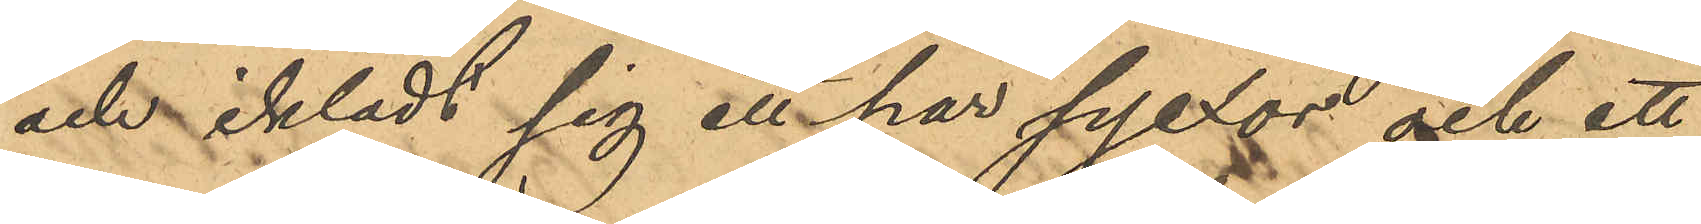och iklädt sig ett par pjexor och ett
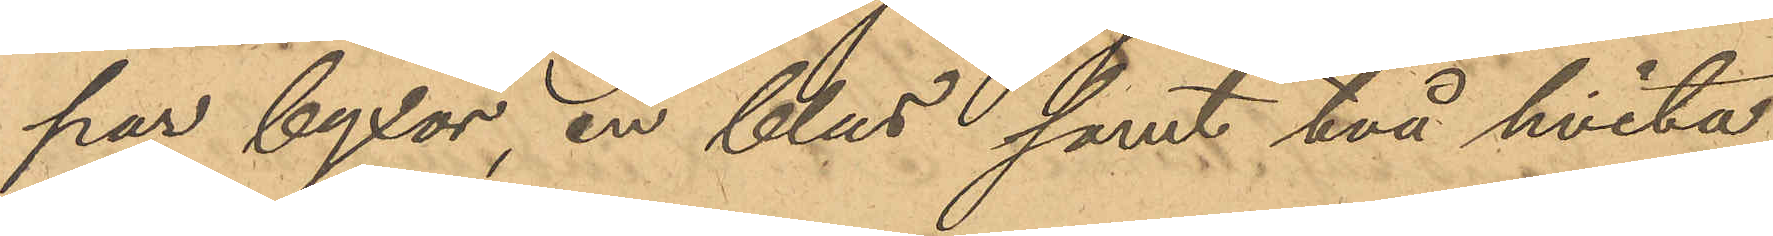par byxor, en blus samt två hvita
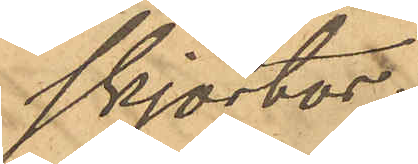skjortor;
